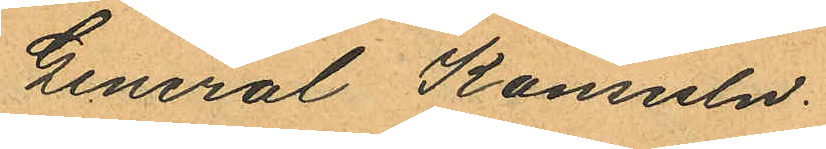General Konsuln.
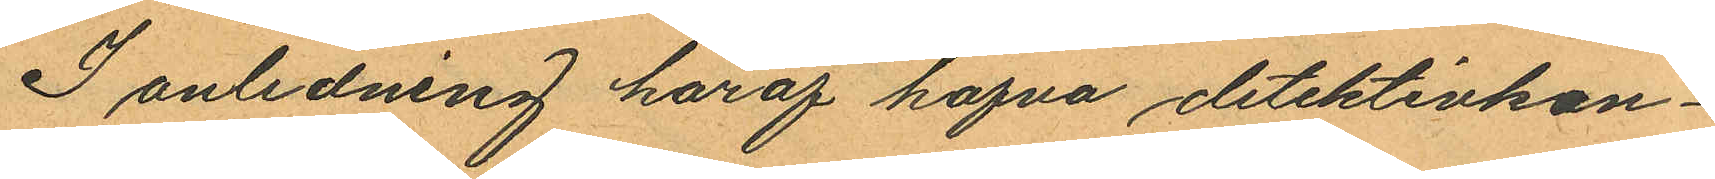I anledning haraf hafva detektivkon¬
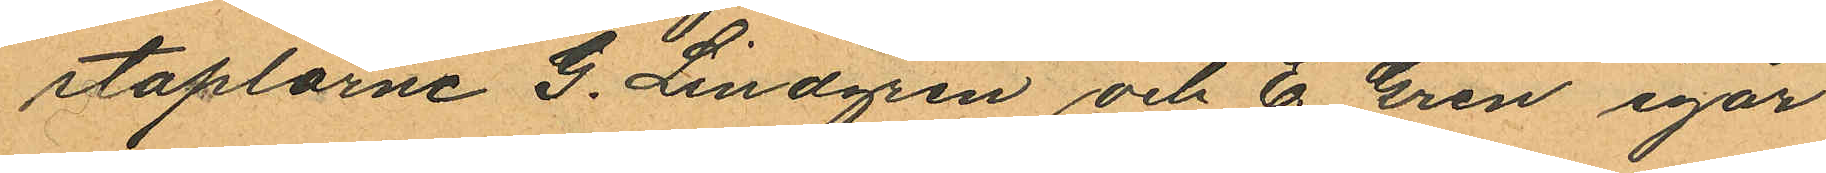staplarne G. Lindgren och E. Gren igår
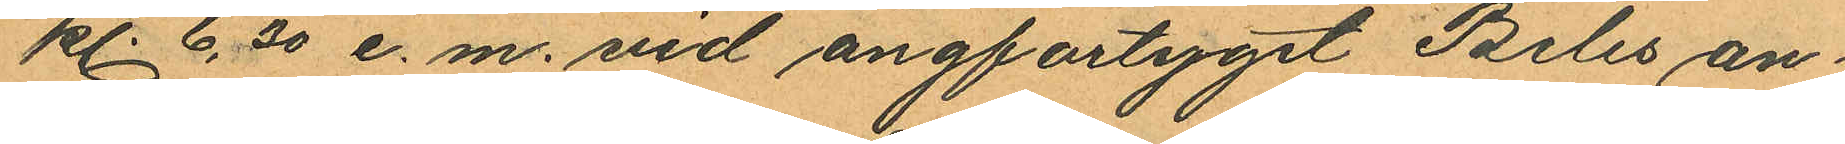kl. 6,30 e. m. vid ångfartyget Beles an¬
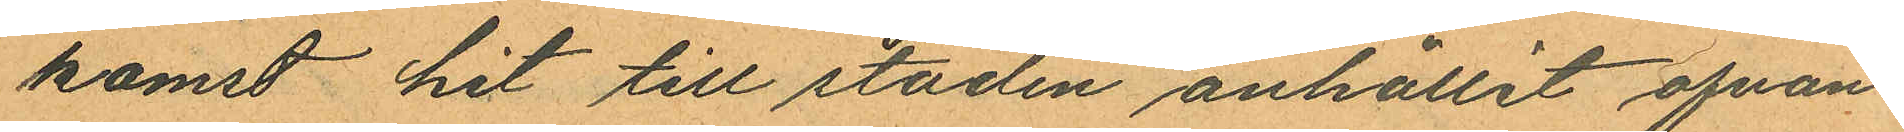komst hit till staden anhållit ofvan¬
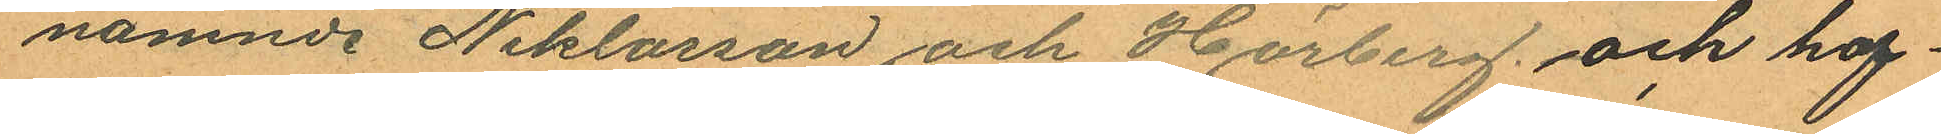namnde Niklasson och Hörberg och haf¬
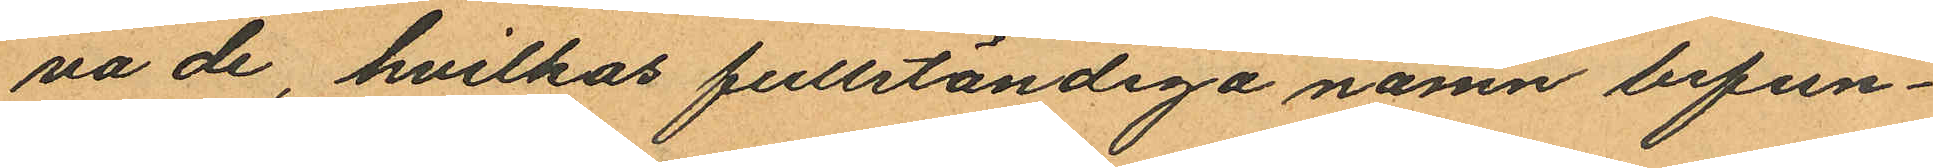na de, hvilkas fullständiga namn befun¬
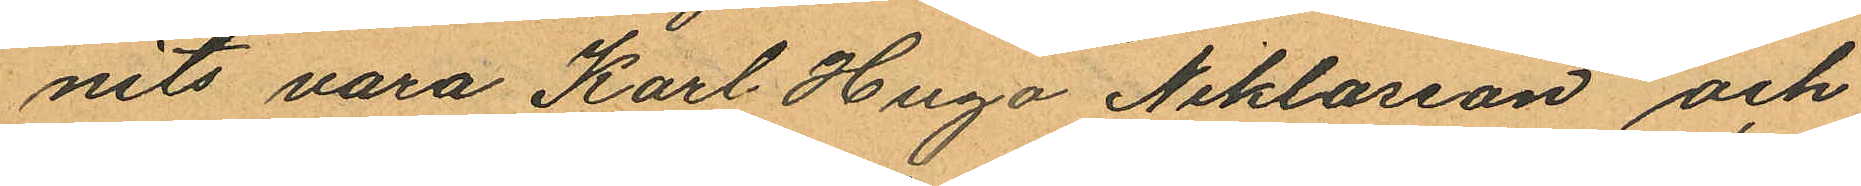nits vara Karl Hugo Niklasson och
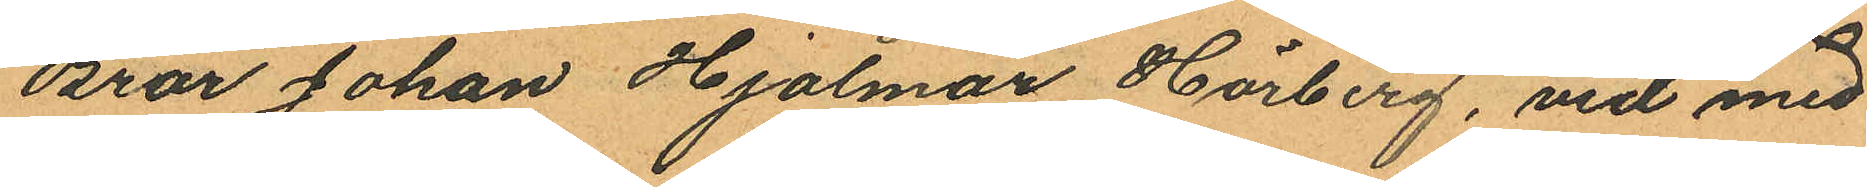Bror Johan Hjalmar Hörberg, vid med
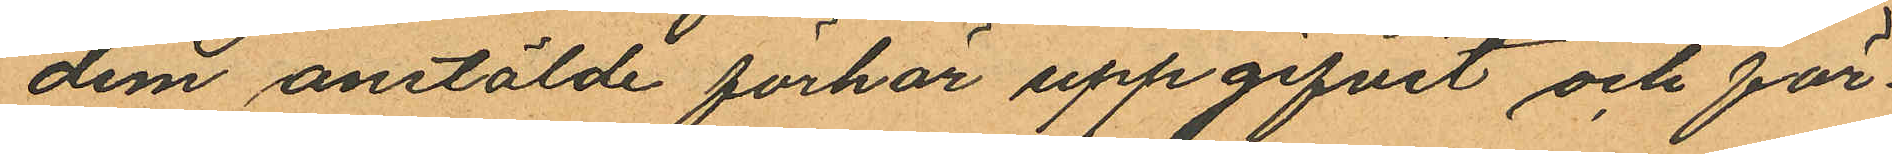dem anstälde förhör uppgifvit och för¬
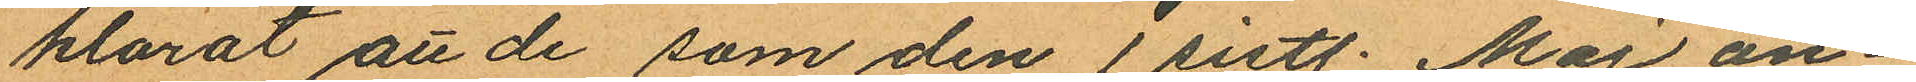klarat att de som den 1 sistl. Maj an¬
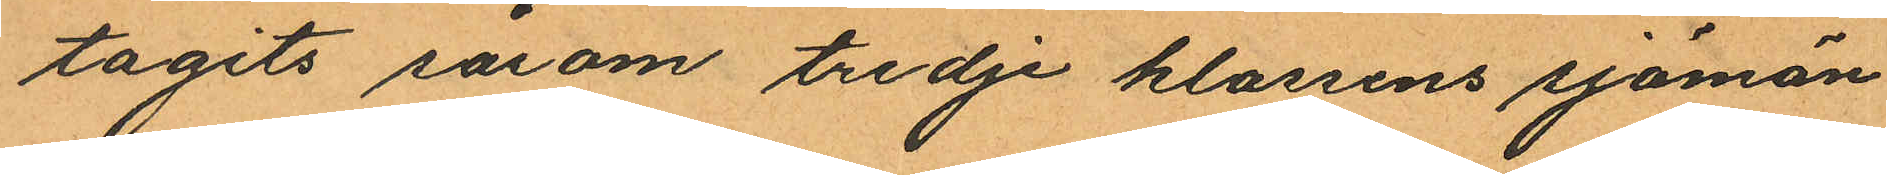tagits såsom tredje klassens sjömän
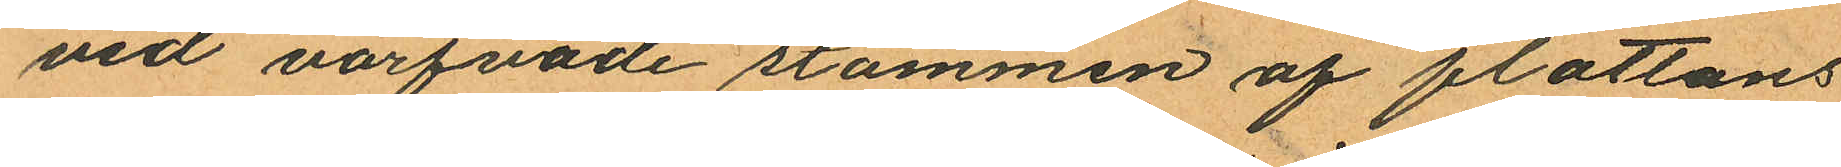vid värfvade stammen af flottans
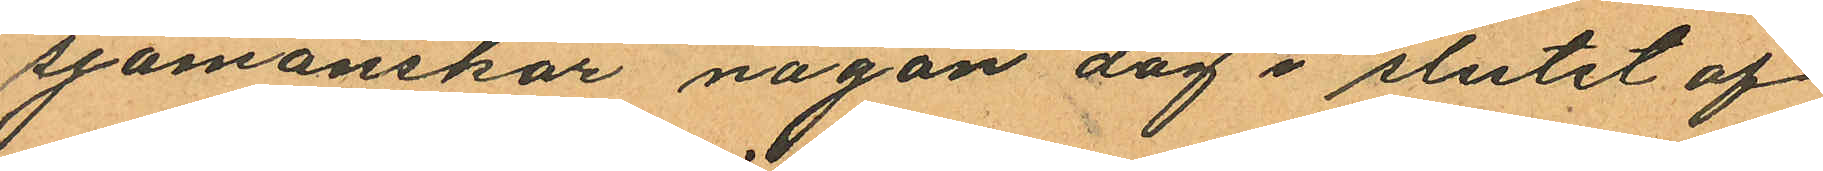sjömanskår någon dag i slutet af
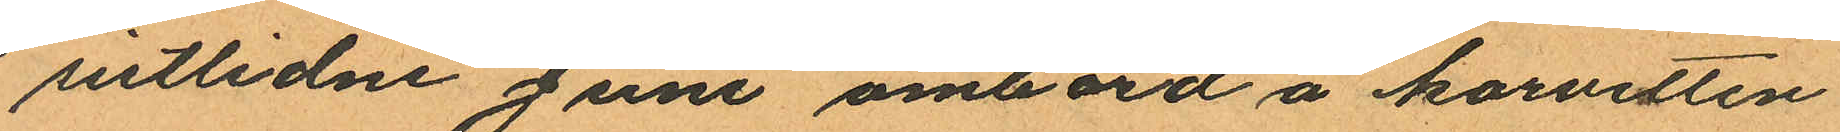sistlidne Juni ombord å korvetten
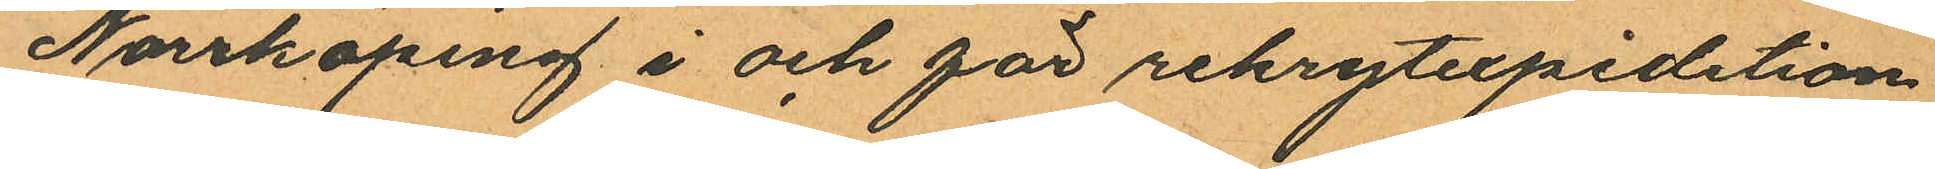Norrköping i och för rekrytexpidetion
